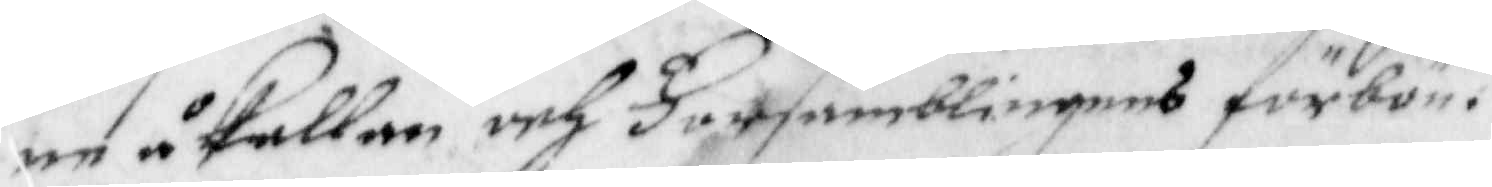en åkallan och Församblingens förbön.
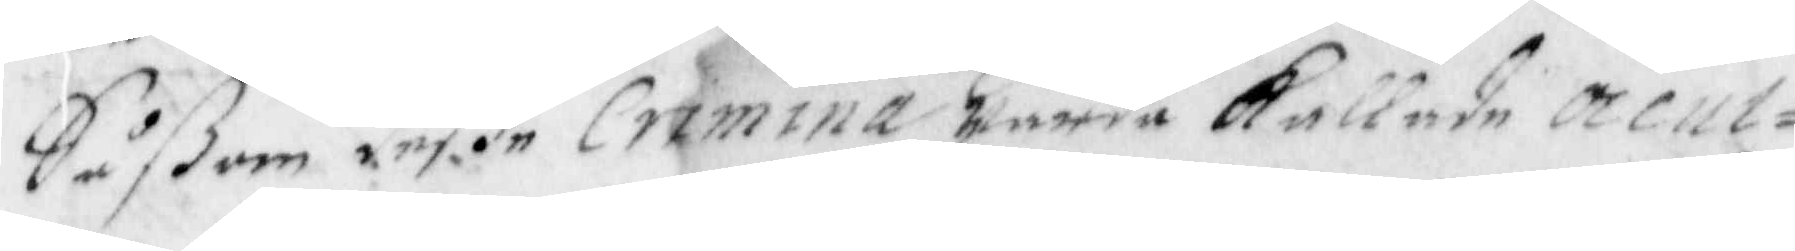Såßom deße Crimona warda kallade Occul¬
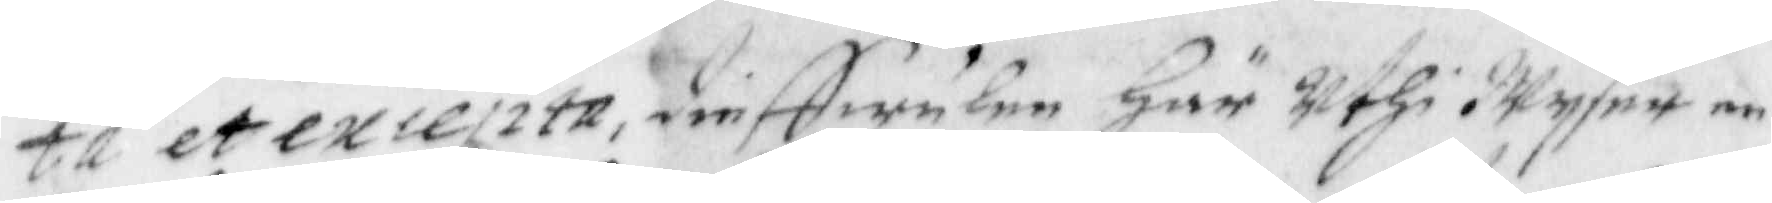ta etexiepta, dieffwulen här Uthi Wyser en
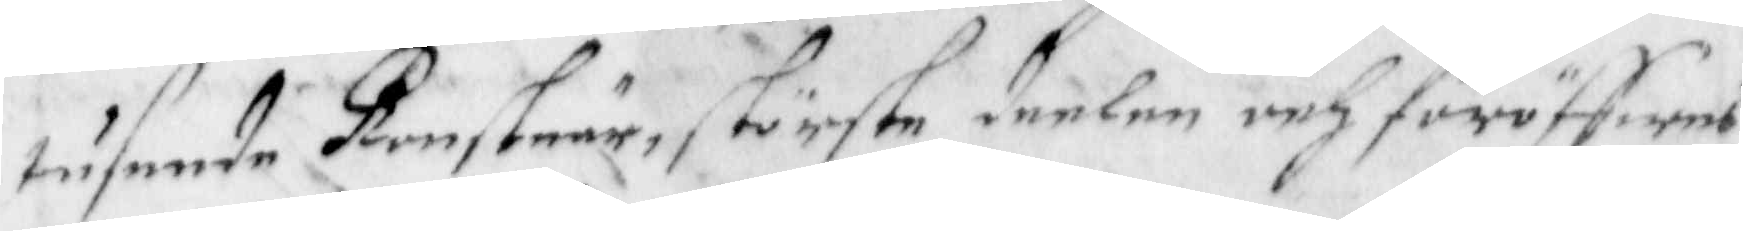tusende konstnär, störste deelen och föröffwes
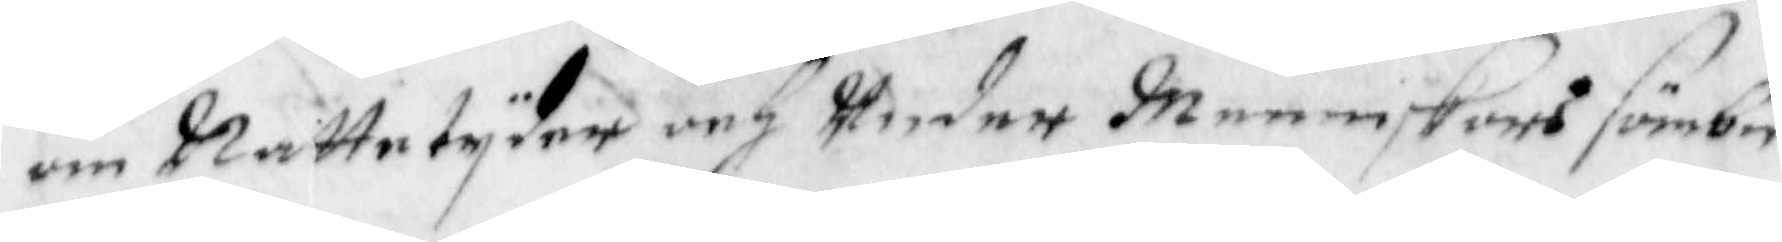om Nattetyder och Under Menniskors förbe¬
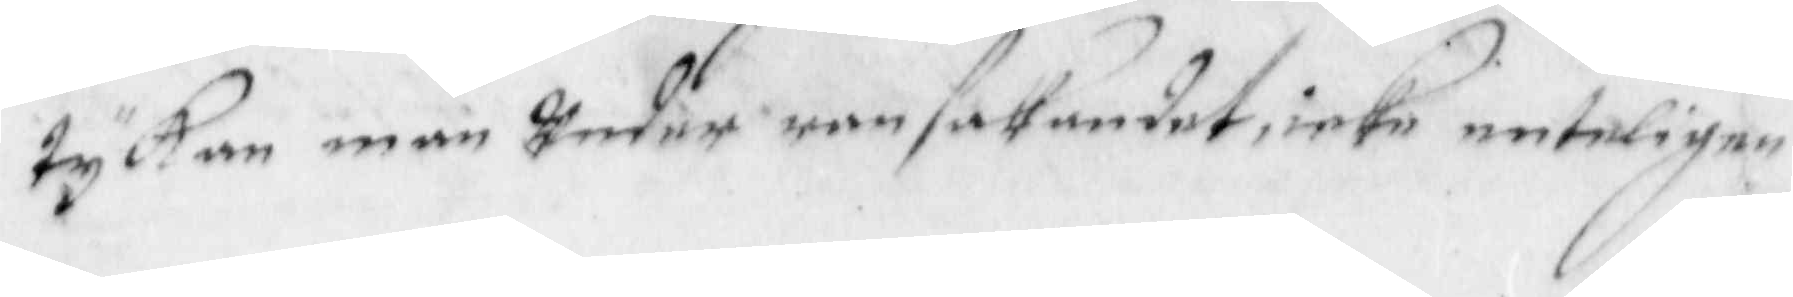tyckan man Under ransakandet, icke enteligen
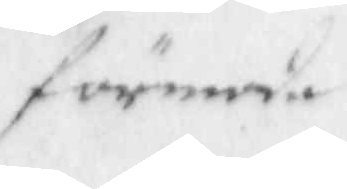förmoda
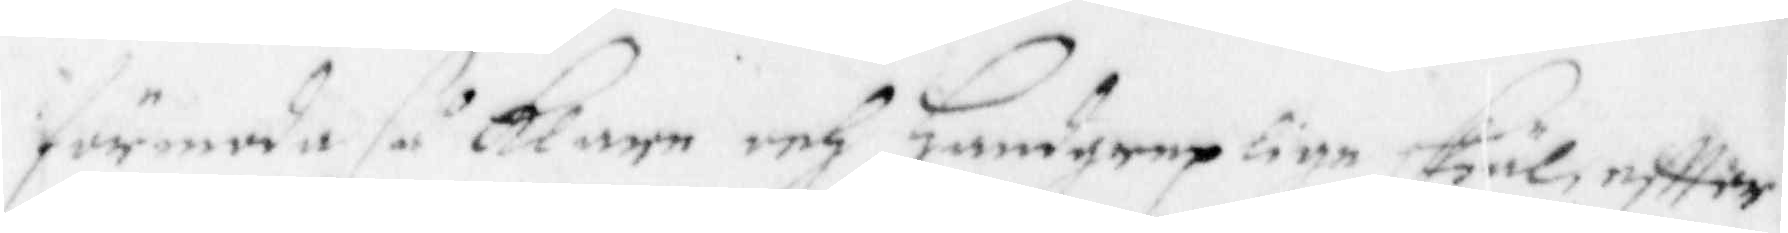förmoda så Klare och Handgreplige Skäl eftter
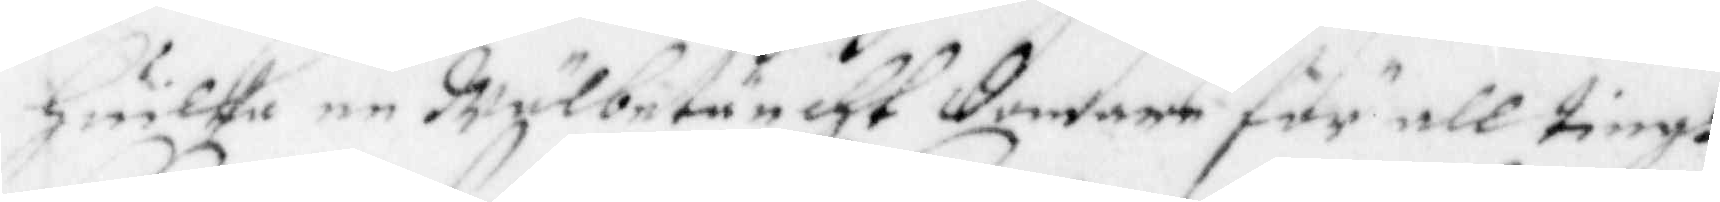Huilka en Wälbetäncht domare för all tings
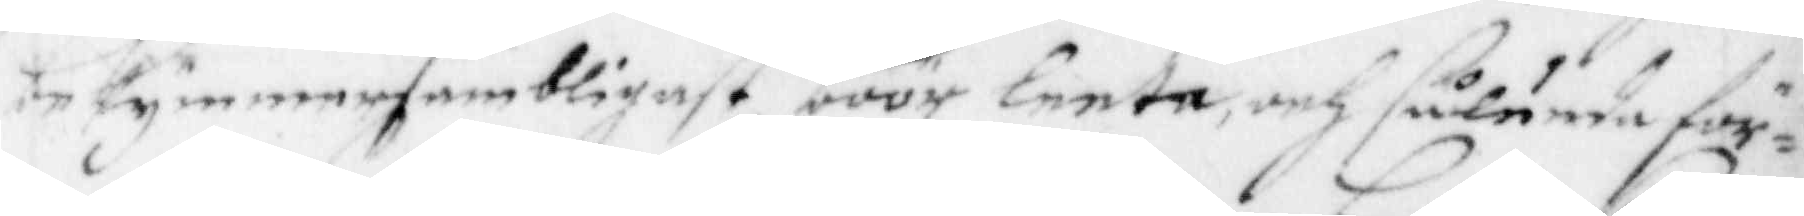bekymmersambligast böör leeta, och såunda för¬
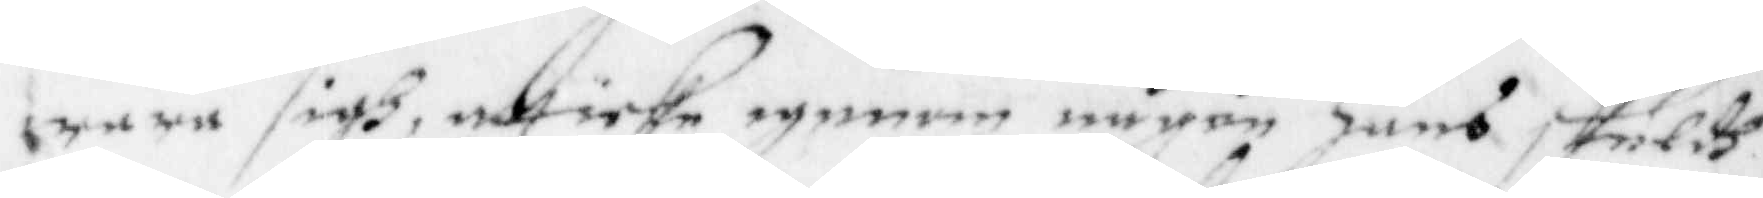wara sigh, att icke igenom någon hans skuldh
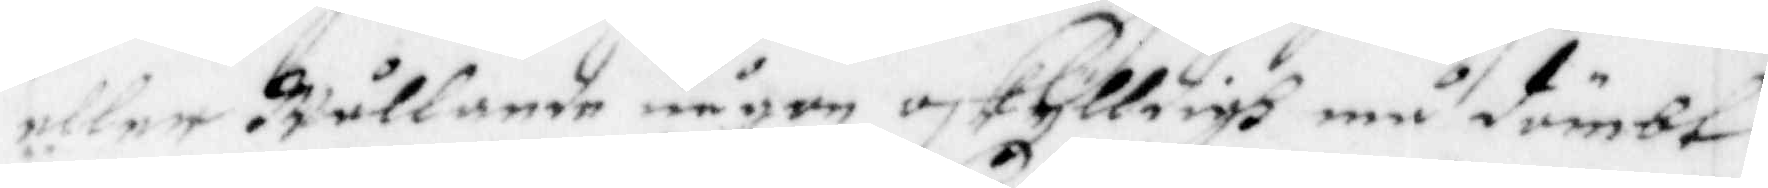eller wållande någon oskylldigh må dömbt
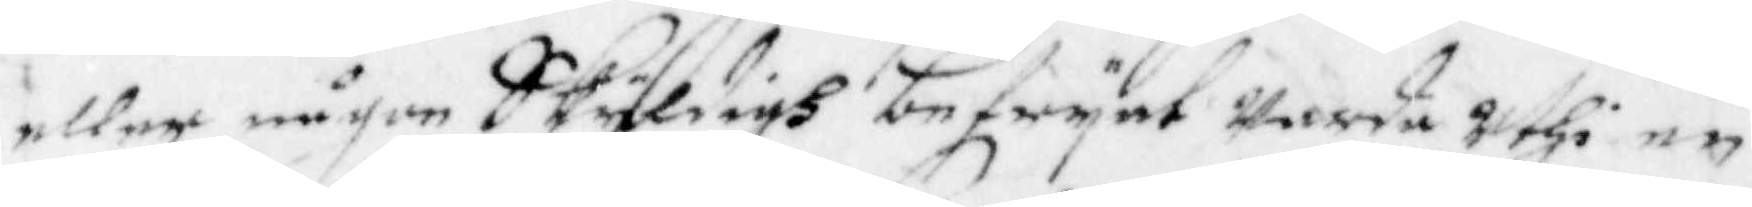eller någon Skyldigh befryat warda Uthi en
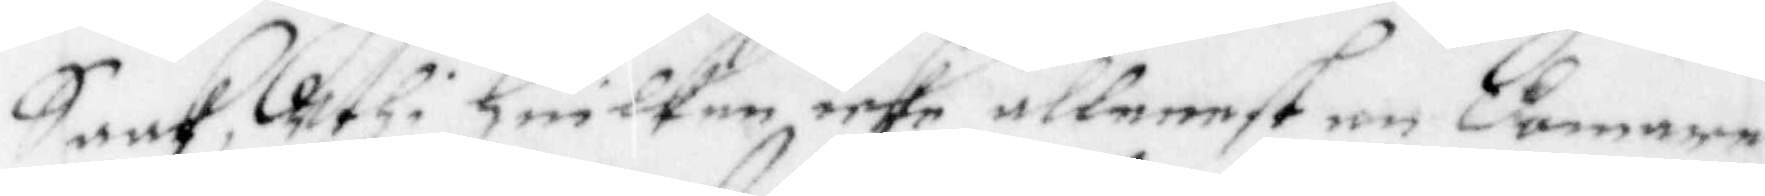Saak, Uthi Huilken icke allenest en domare
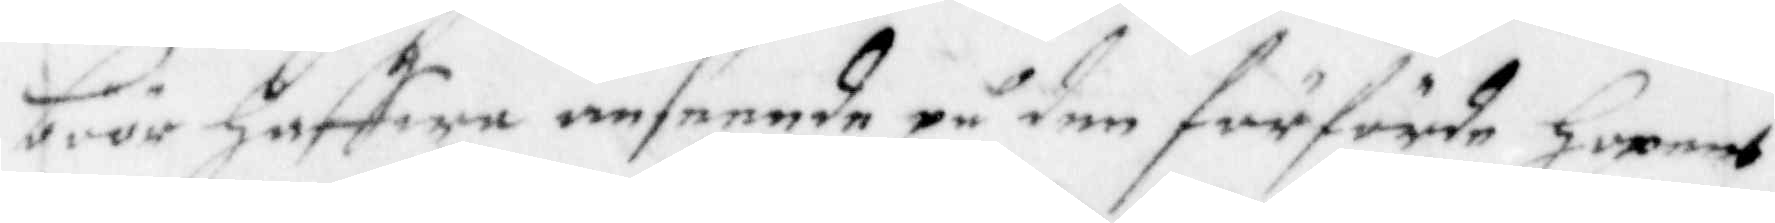böör Haffwa anseende på den förförde Hopens
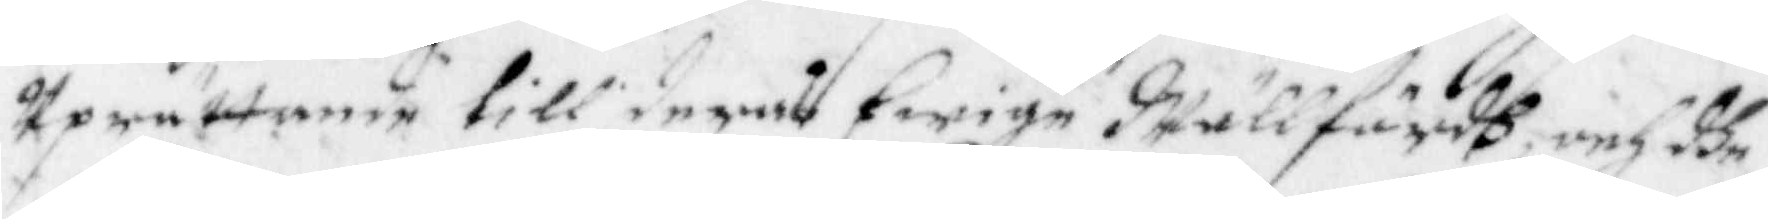Uprättane till deras Ewige Wällfärdh, och dhe
